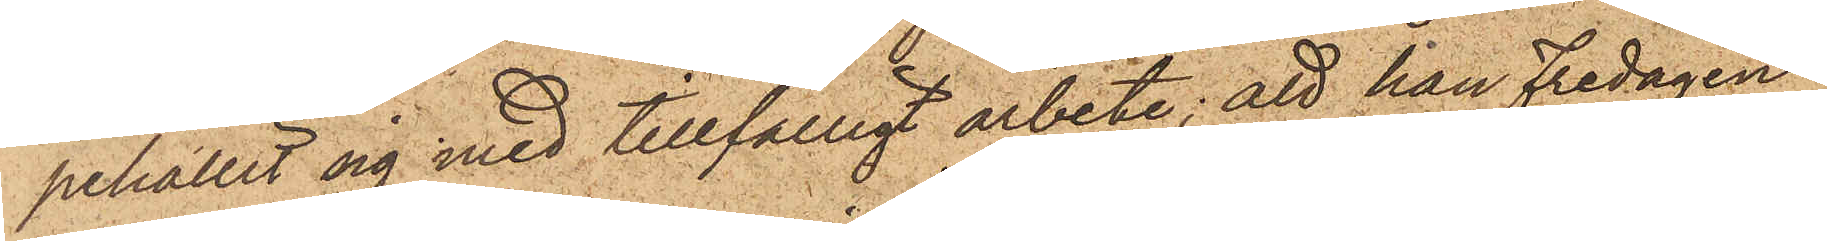pehållit sig med tillfälligt arbete; att han Fredagen
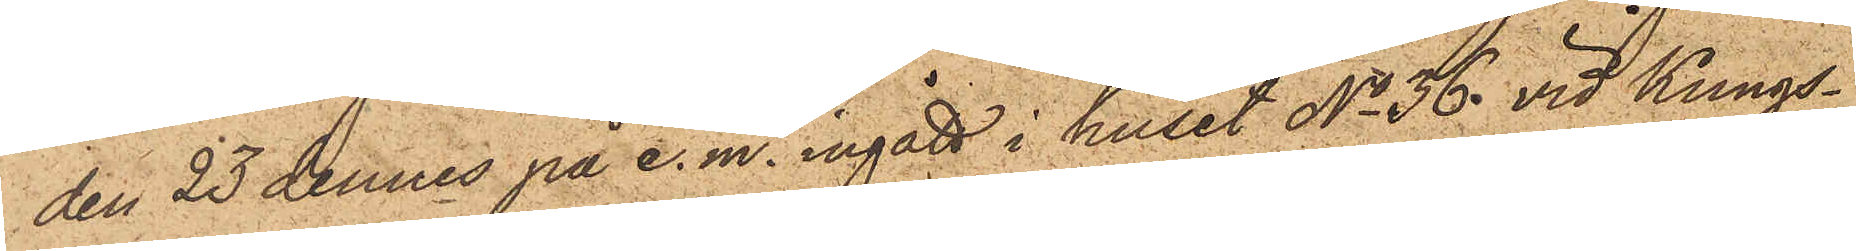den 23 dennes på e. m. ingått i huset No 36 vid Kungs¬
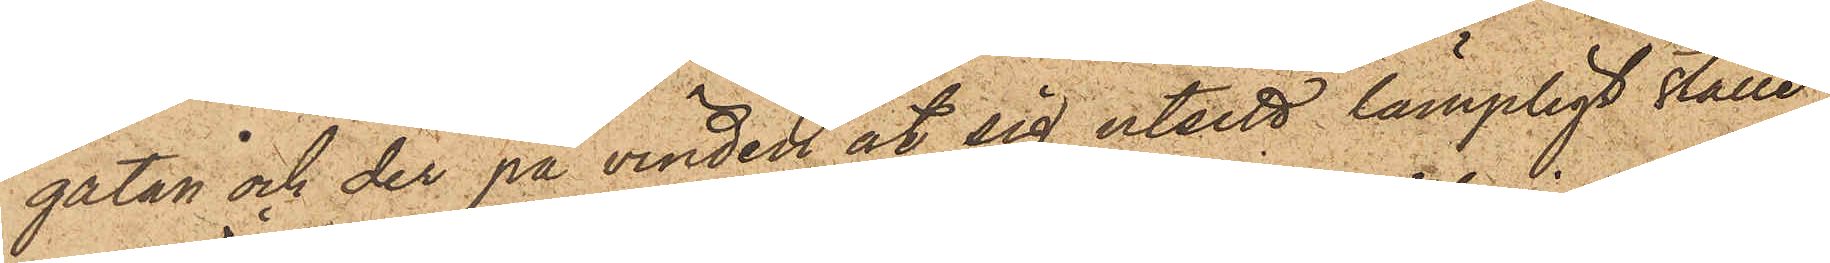gatan och der på vinden åt sig utsett lämpligt ställe
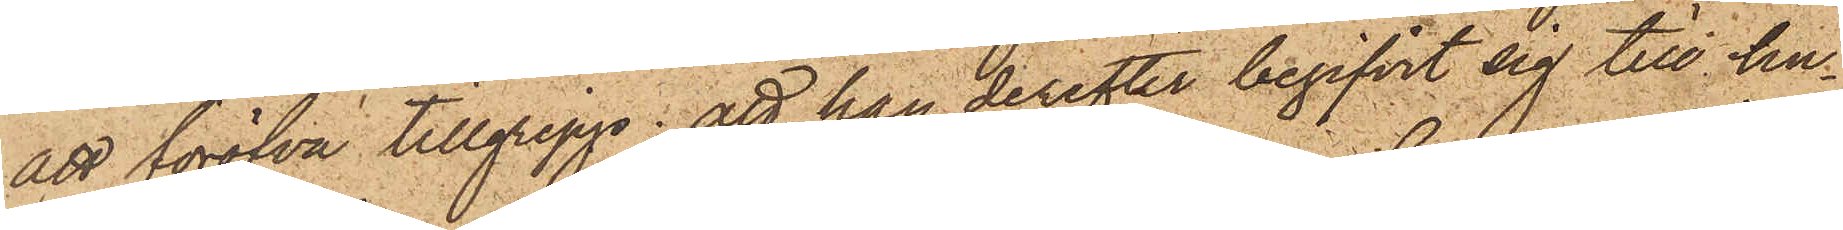att föröfva tillgrepp; att han derefter begifvit sig till hu¬
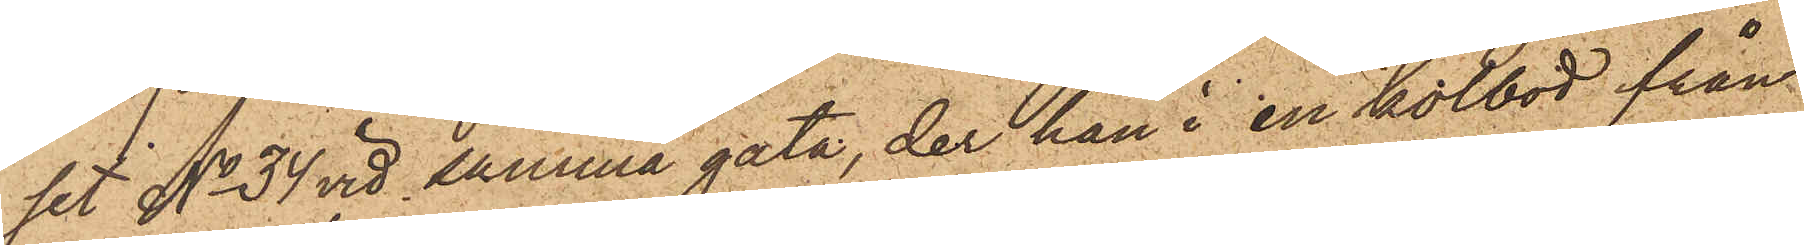set No 34 vid samma gata, der han i en kolbod från
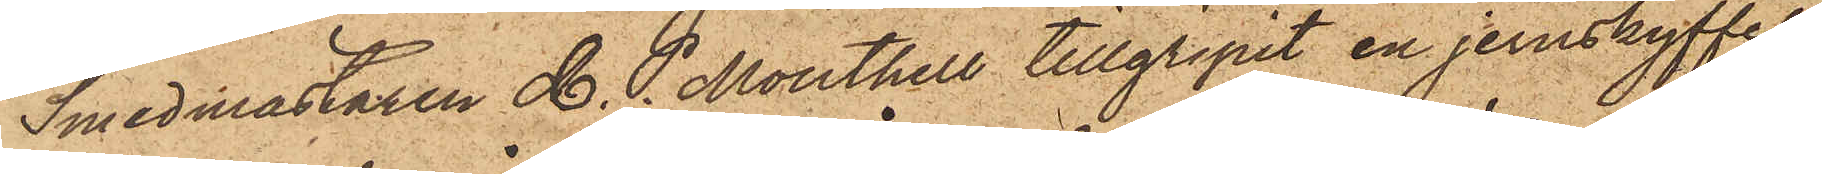Smedmästaren C. P. Monthell tillgripit en jernskyffel,
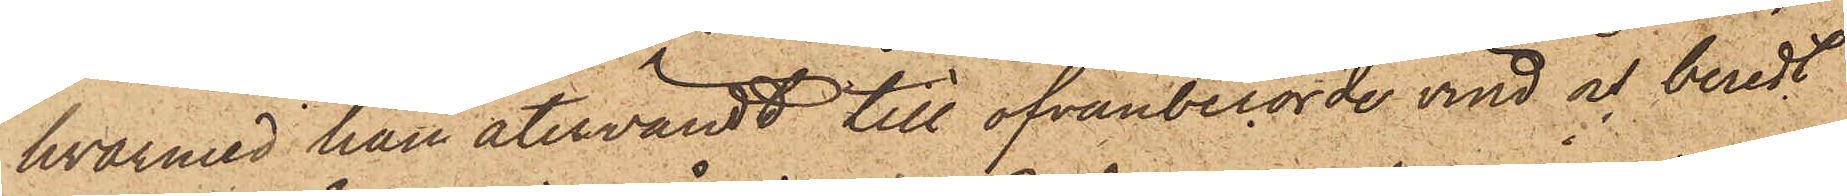hvarmed han återvändt till ofvanberörde vind och beredt
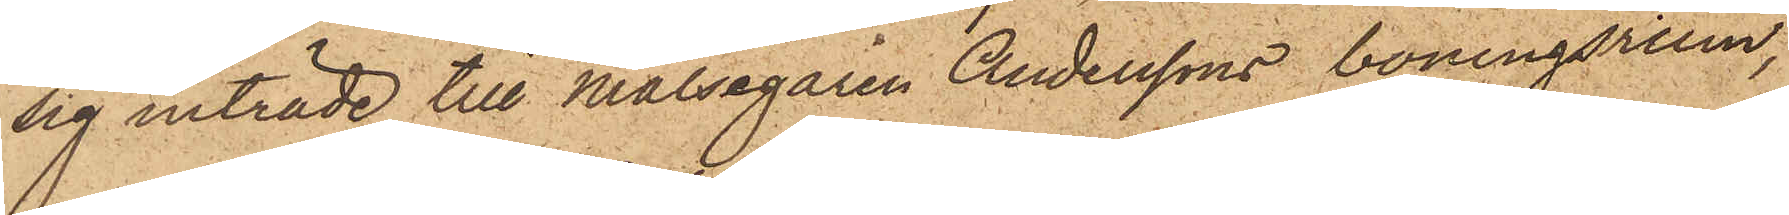sig inträde till Målsegaren Anderssons boningsrum,
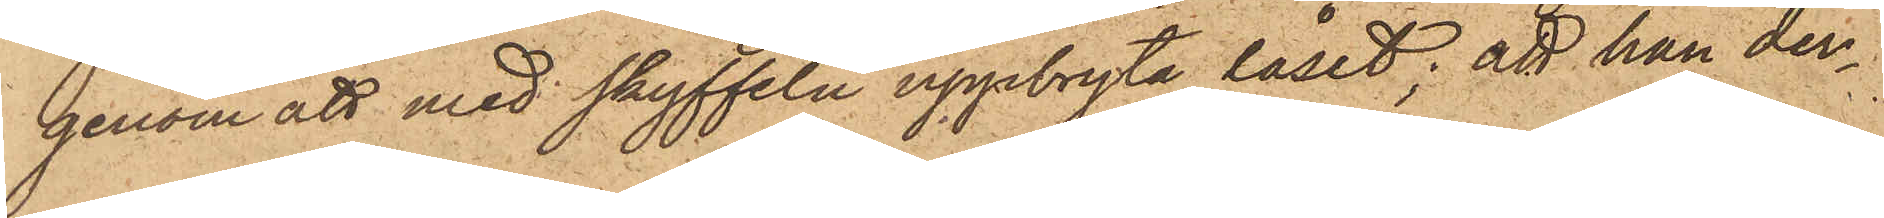genom att med skyffeln uppbryta låset; att han der¬
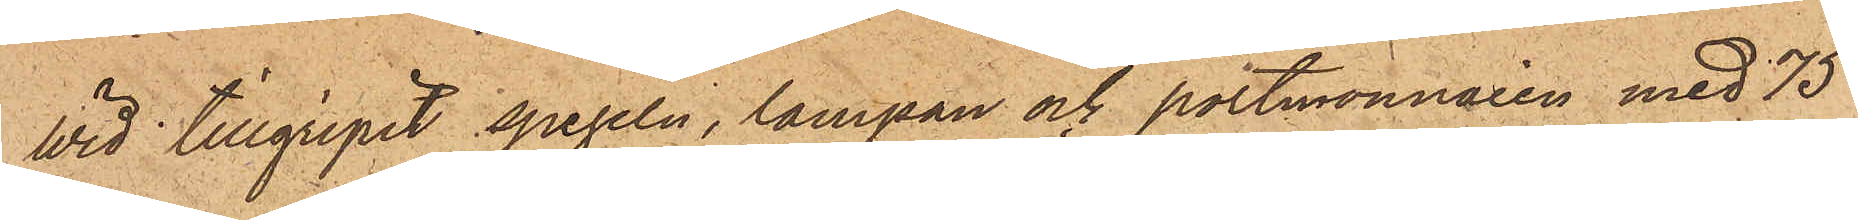wid tillgripit spegeln, lampan och portmonnaien med 75
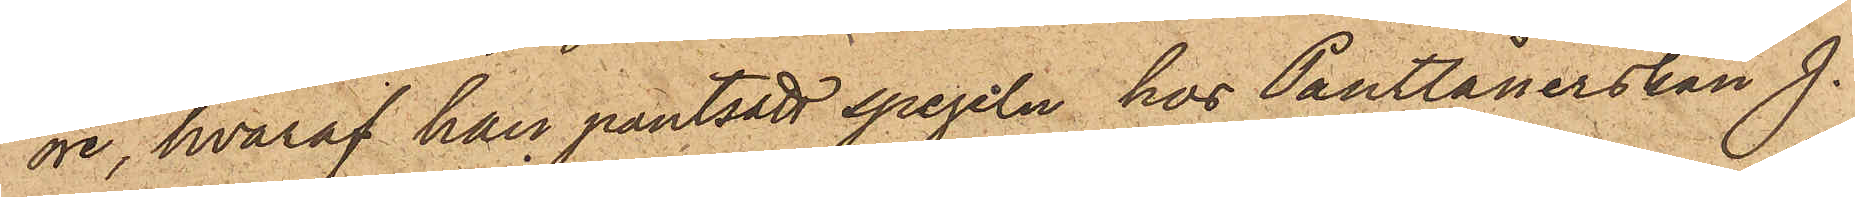öre, hvaraf han pantsatt spegeln hos Pantlånerskan J.
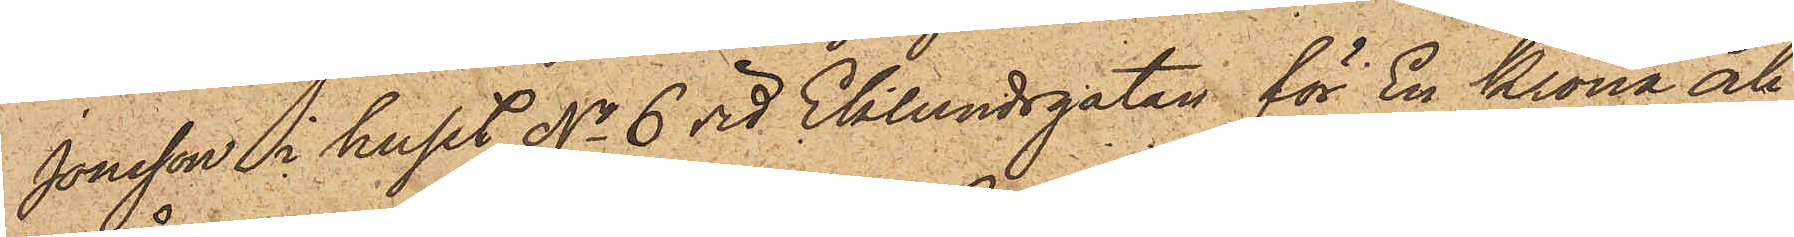Jonsson i huset No 6 vid Eklundsgatan för En Krona och
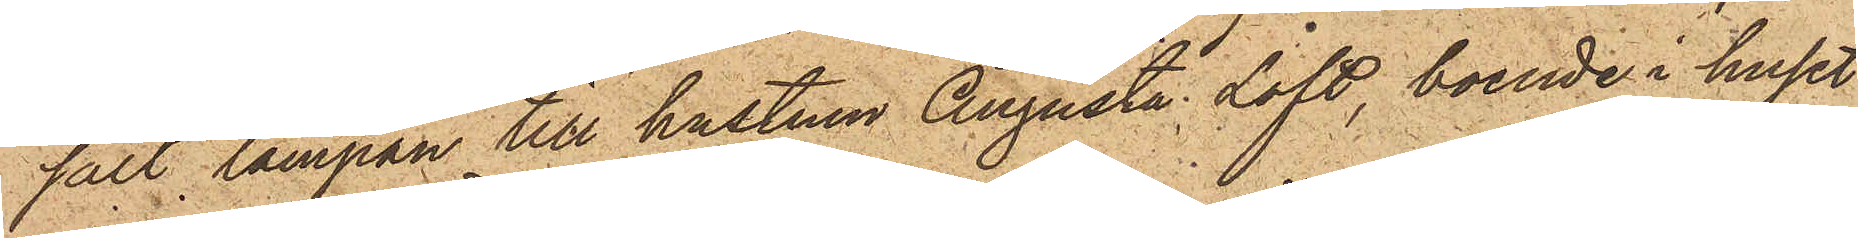sålt lampan till hustrun Augusta Låft, boende i huset
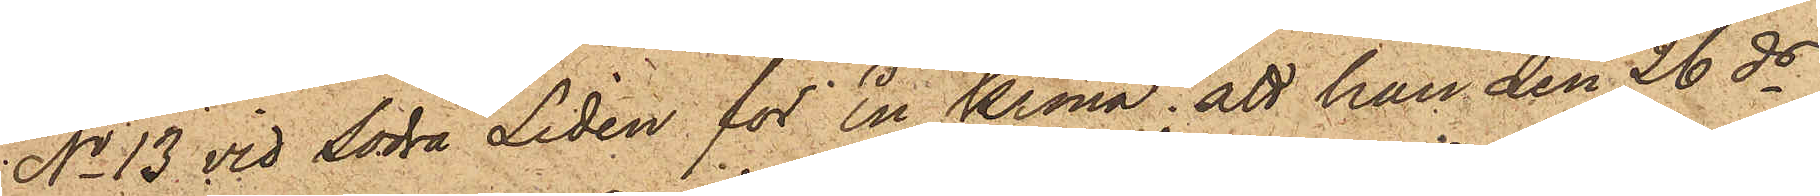No 13 vid Södra Liden för En Krona; att han den 26 ds
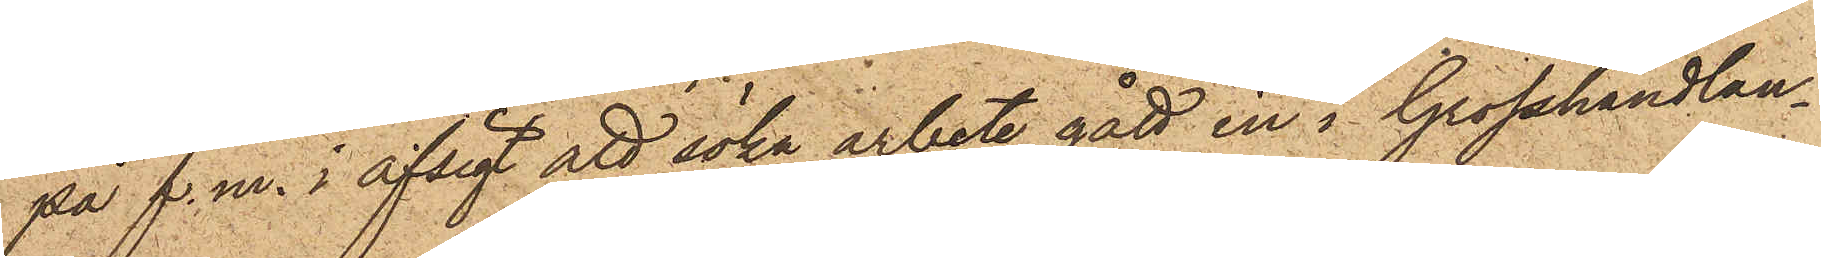på f. m. i afsigt att söka arbete gått in i Grosshandlan¬
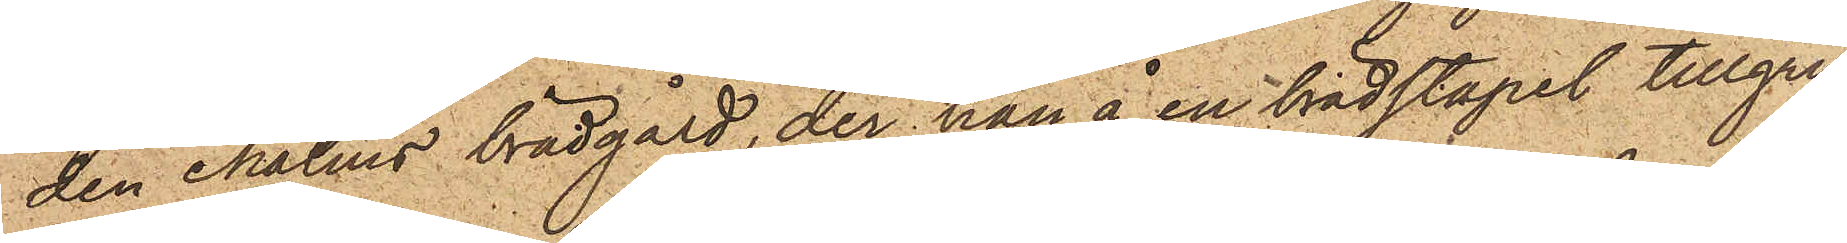den Malms brädgård, der han å en brädstapel tillgri¬
